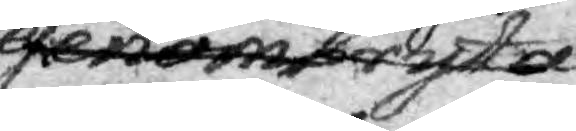genombryta.
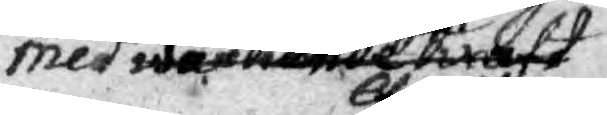med wärmande kraft 
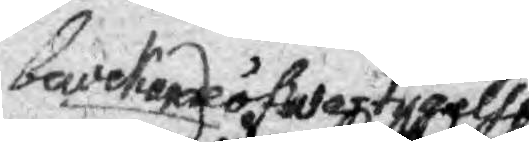bewekande öfwertygelse
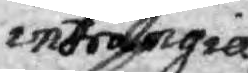inträngia
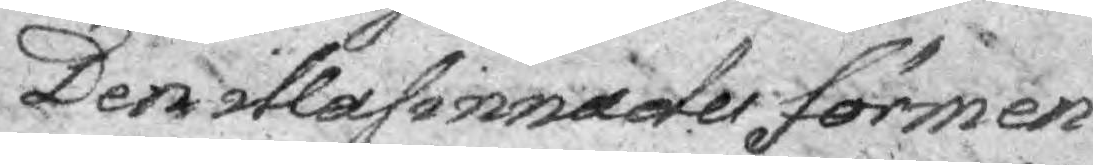Den illasinnades förmen¬
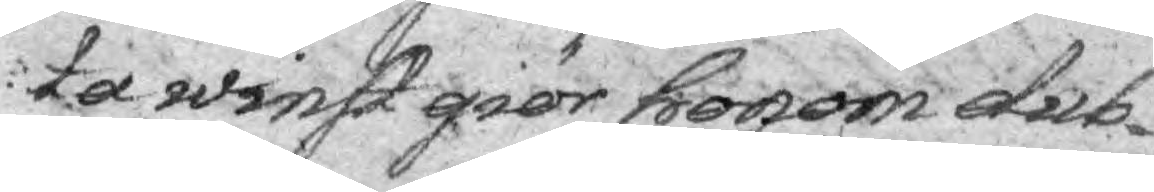ta winst giör honom dub¬
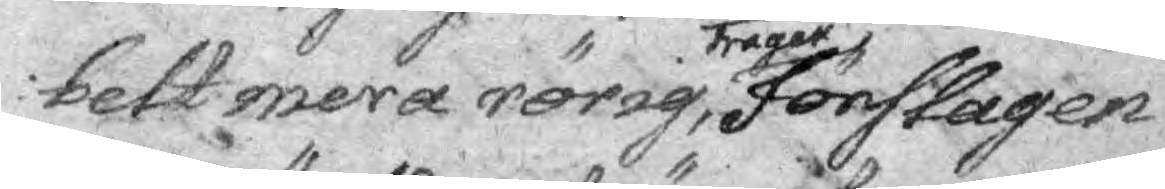belt mera rörig, trägen, förslagen
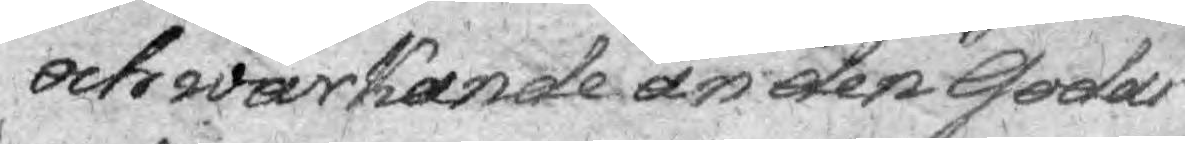och wärkande än deb Goda
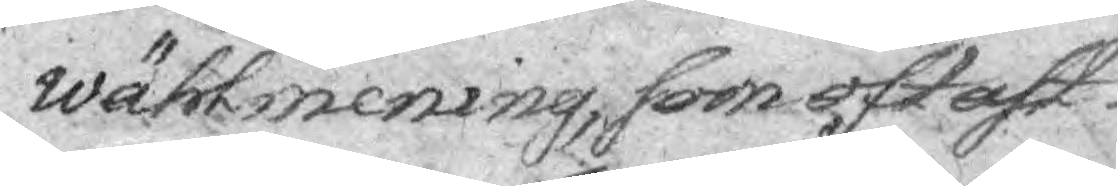wählmening, som oftast
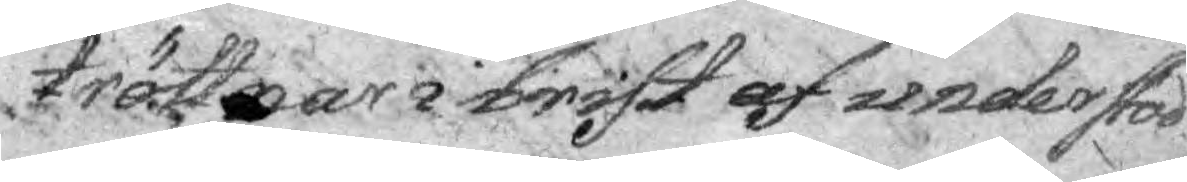tröttnar i brist af uenderstöd
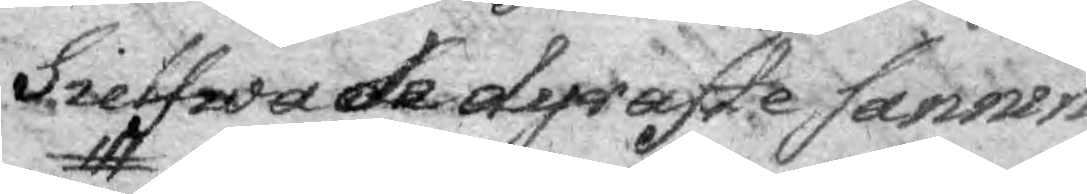sielwa de dyraste Sannin¬
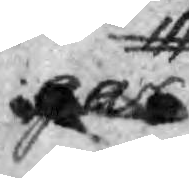gar
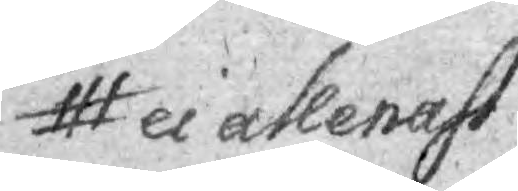ei allenast
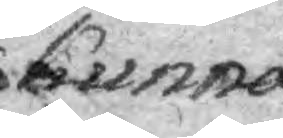kunna
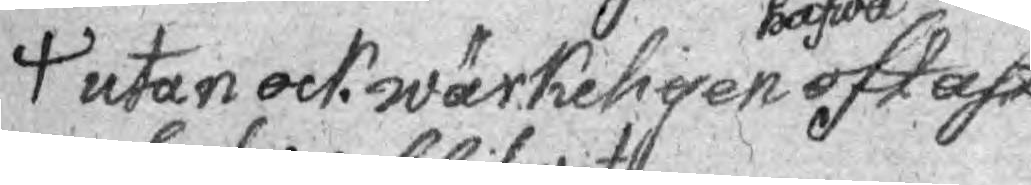utan ock wärkeligen hafwa oftast
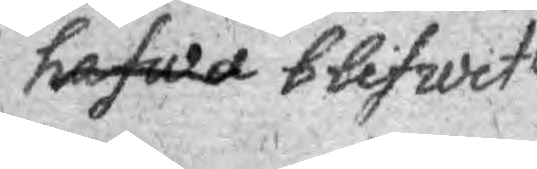hafwa blifwit
